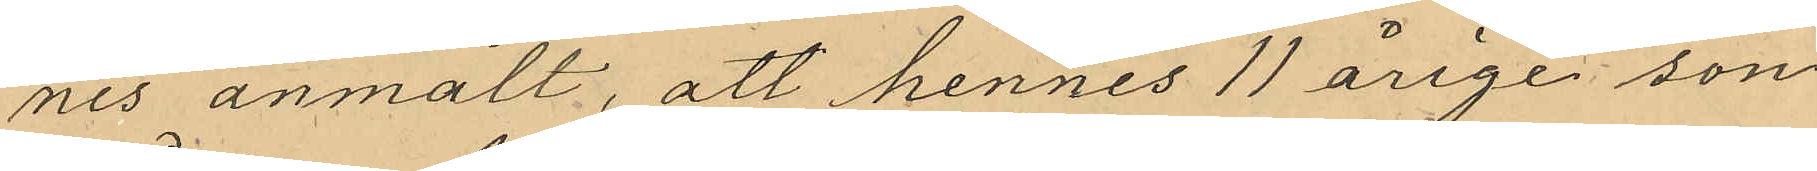nes anmält, att hennes 11 årige son
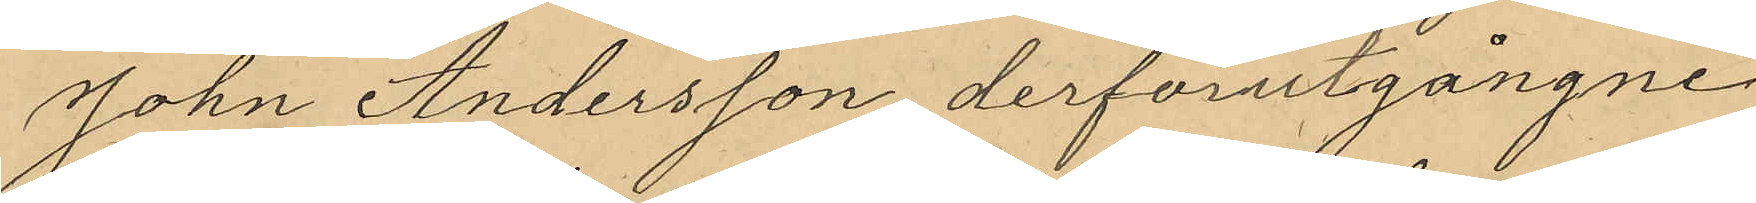John Andersson derförutgångne
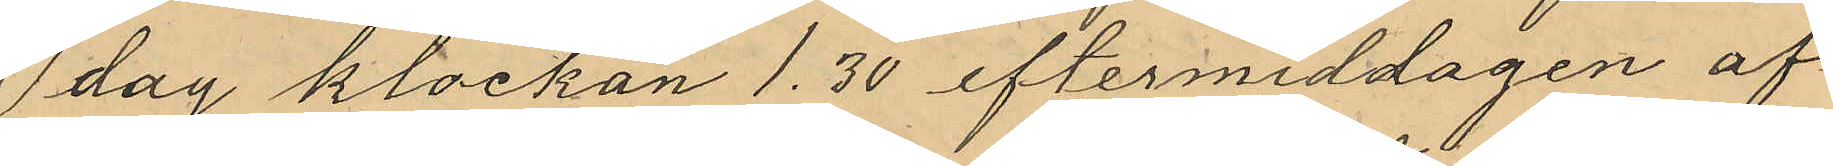dag klockan 1,30 eftermiddagen af¬
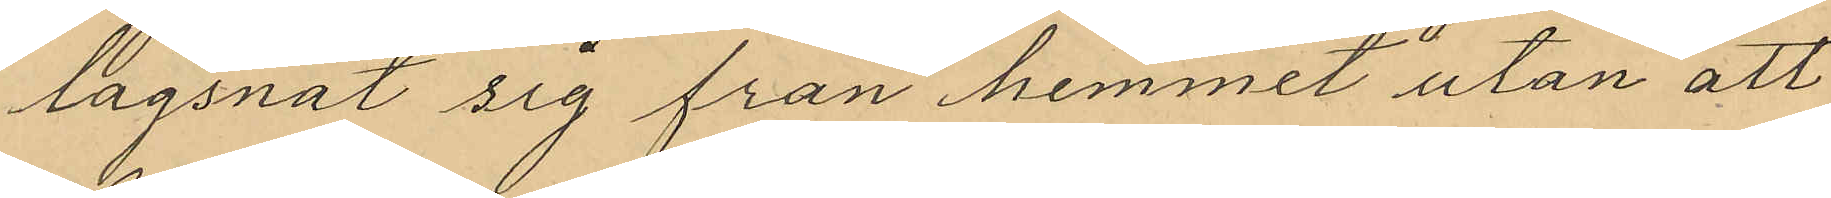lägsnat sig från hemmet utan att
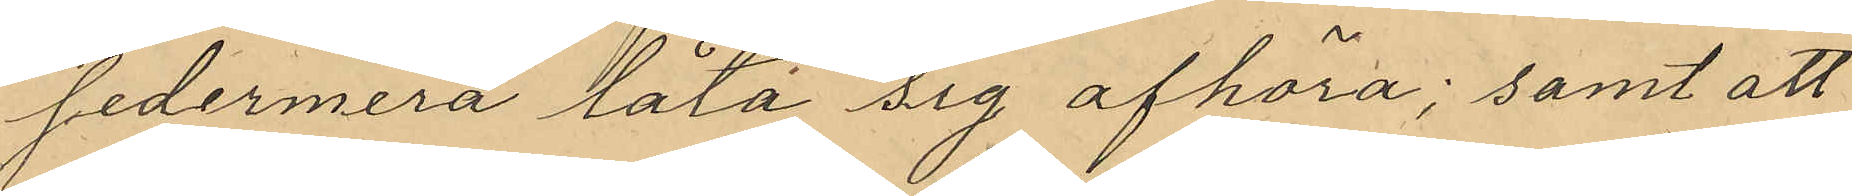sedermera låta sig afhöra; samt att
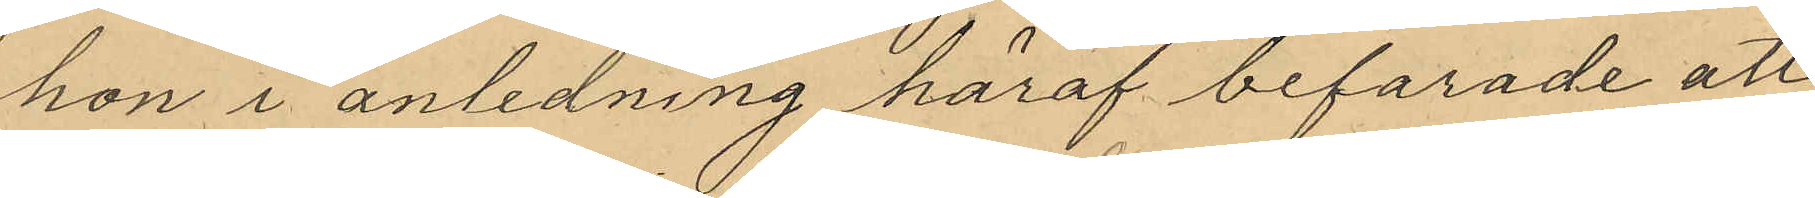hon i anledning häraf befarade att
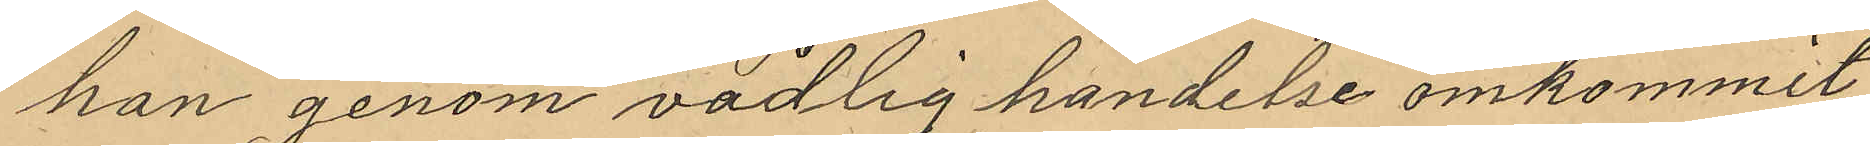han genom vådlig händelse omkommit
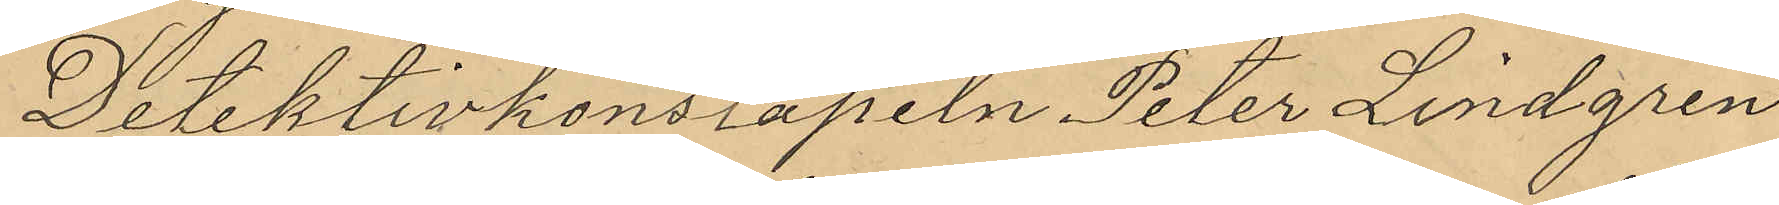Detektivkonstapeln Peter Lindgren
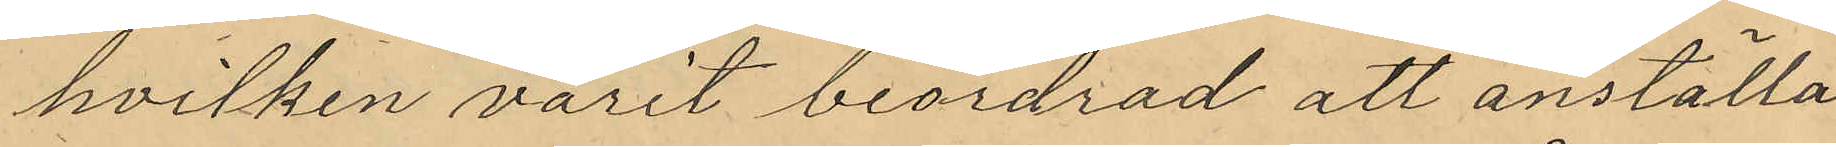hvilken varit beordrad att anställa
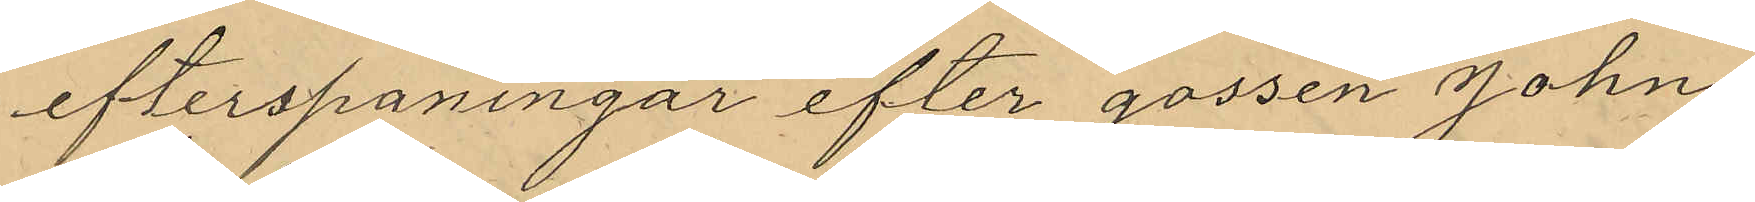efterspaningar efter gossen John
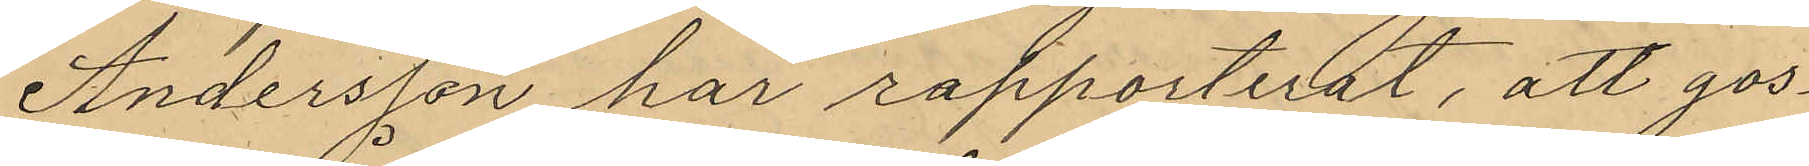Andersson har rapporterat, att gos¬
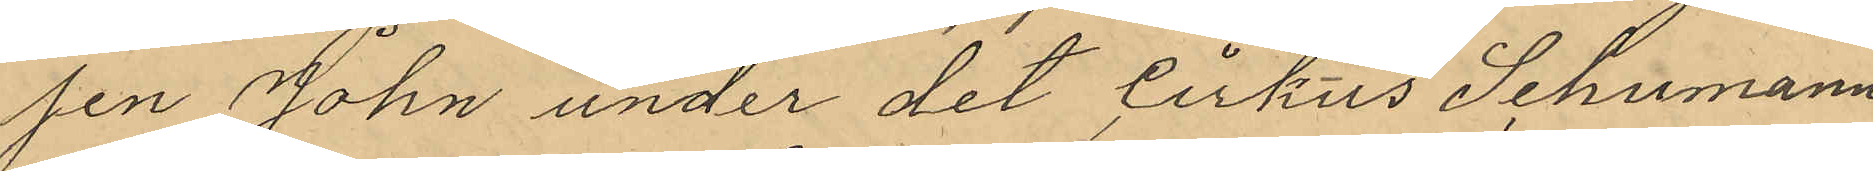sen John under det Cirkus Schumann
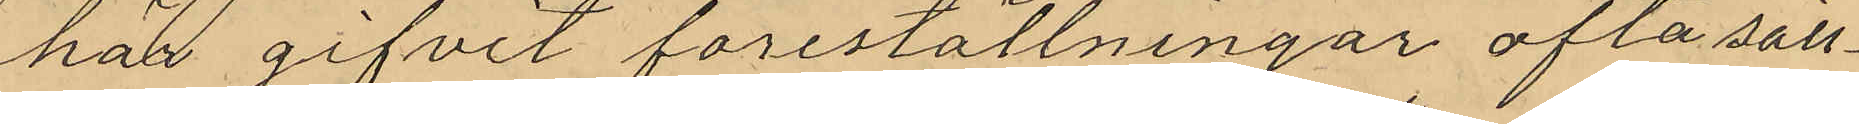här gifvit föreställningar ofta säll¬
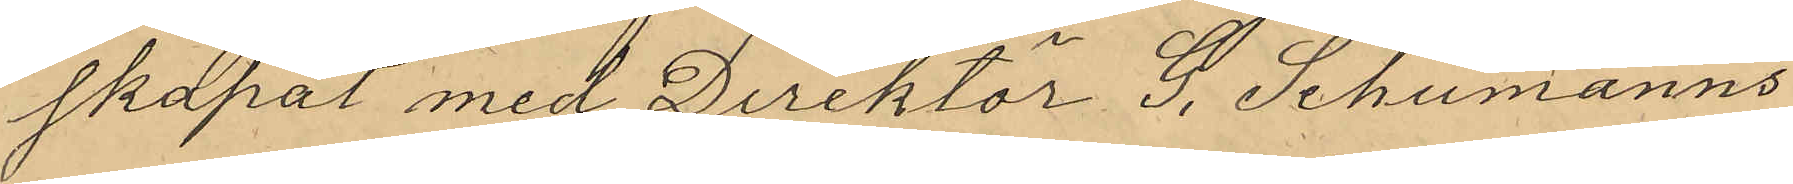skapat med Direktör G. Schumanns
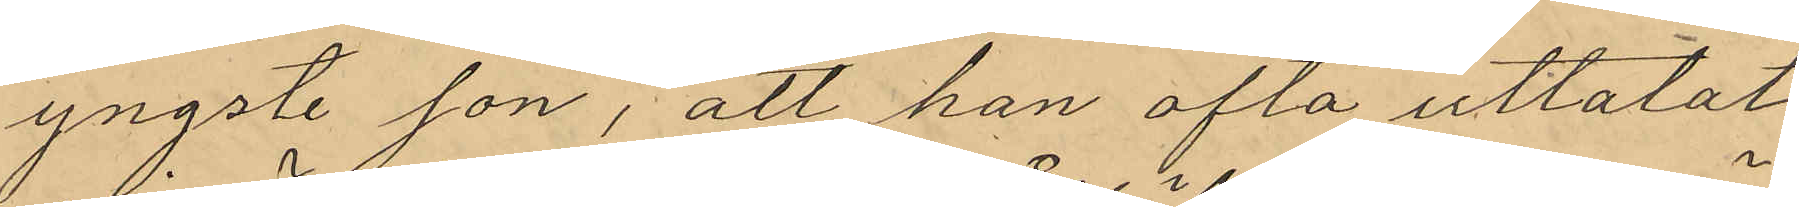yngste son, att han ofta uttalat
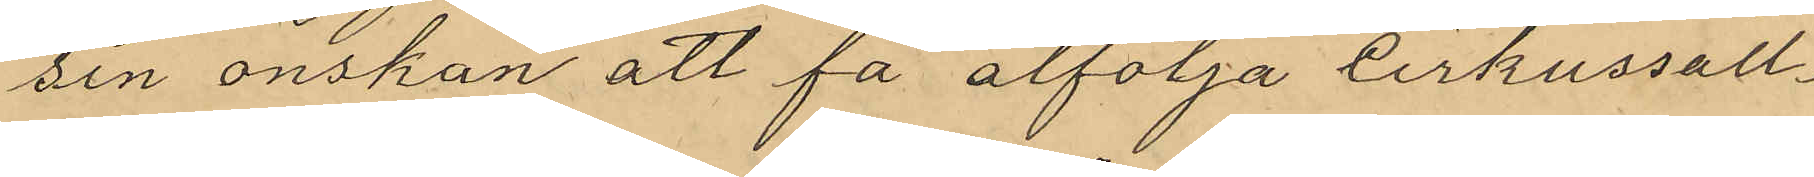sin önskan att få åtfölja cirkussäll¬
